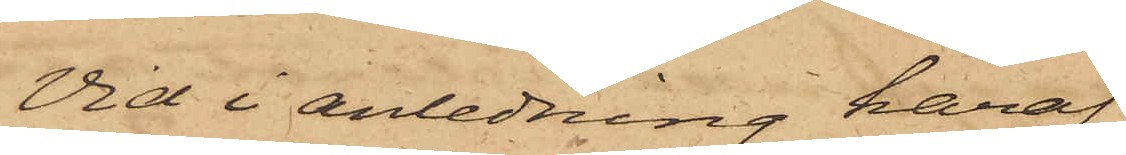Vid i anledning häraf
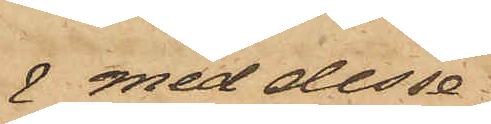 med desse
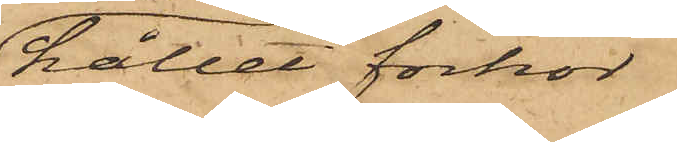hållet förhör
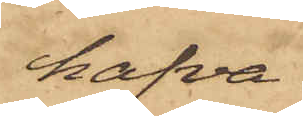hafva
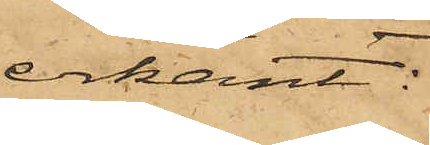erkänt:
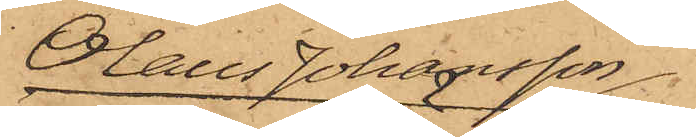Olaus Johansson
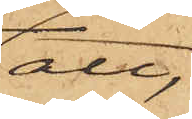att,
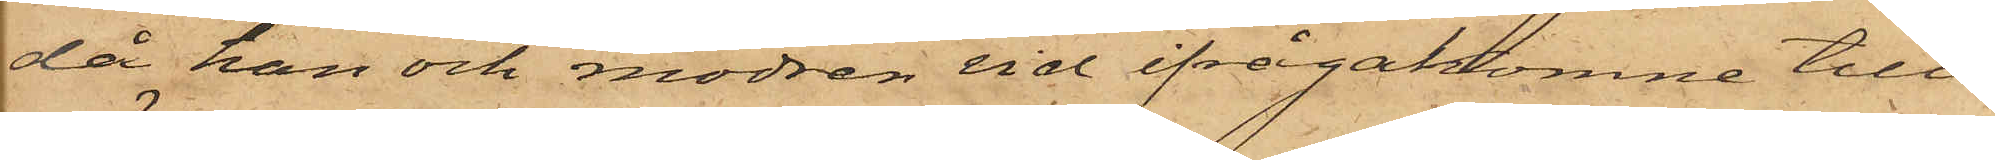då han och modren vid ifrågakomne till¬
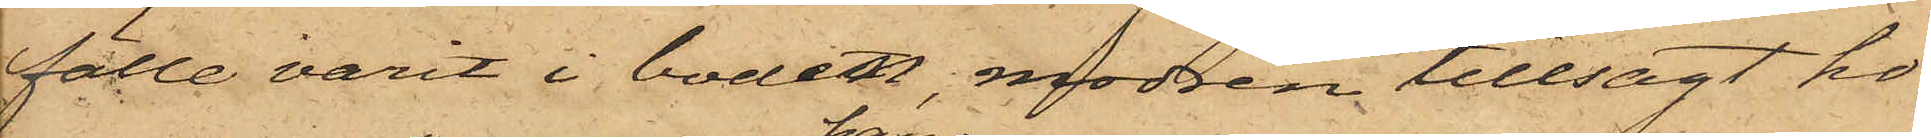fälle varit i boden, modren tillsagt ho¬
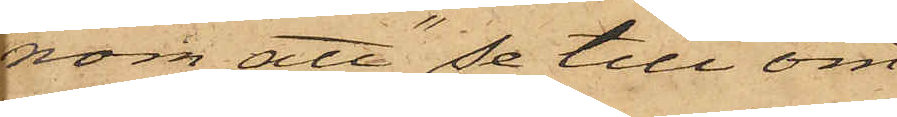nom att "se till om
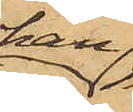han
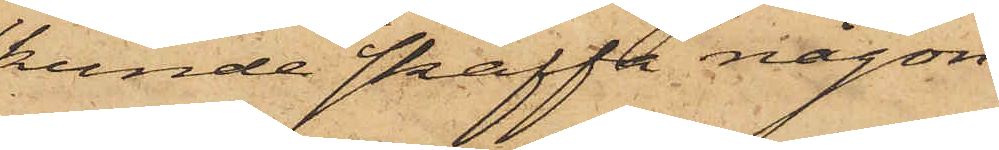kunde skaffa någon
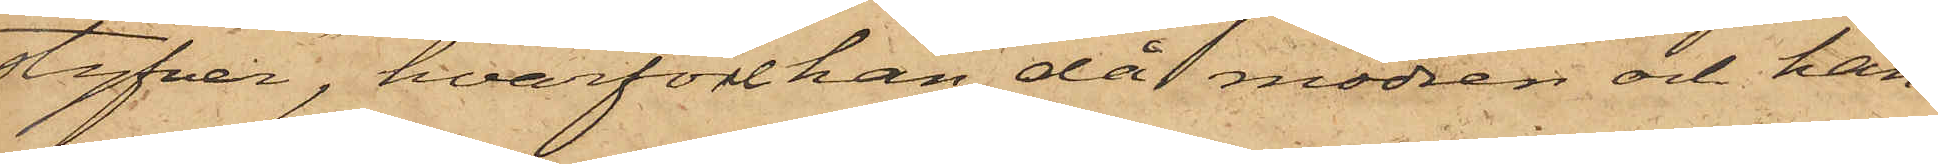styfver", hvarföre han, då modren och han¬
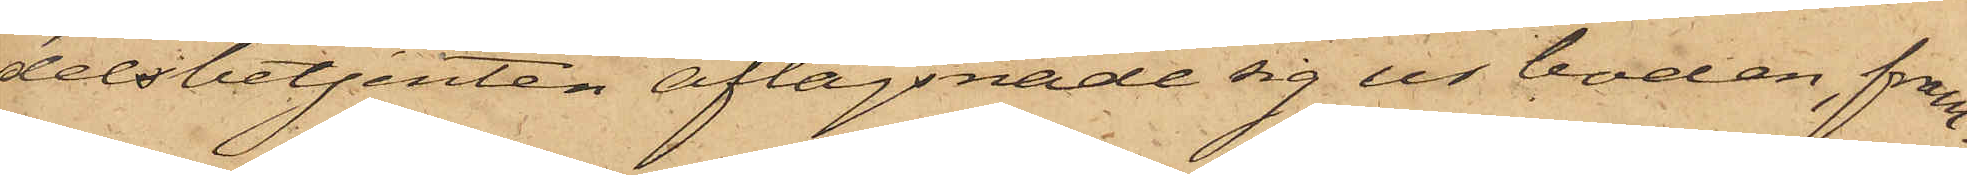delsbetjenten aflägsnade sig ur boden, fram¬
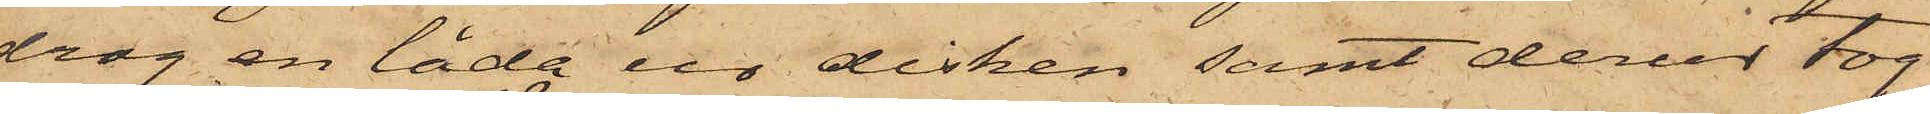drog en låda ur disken samt derur tog
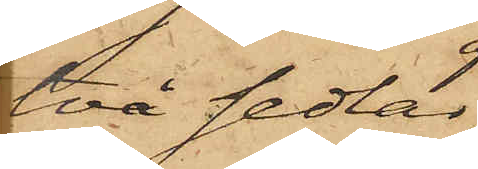två sedlar,
